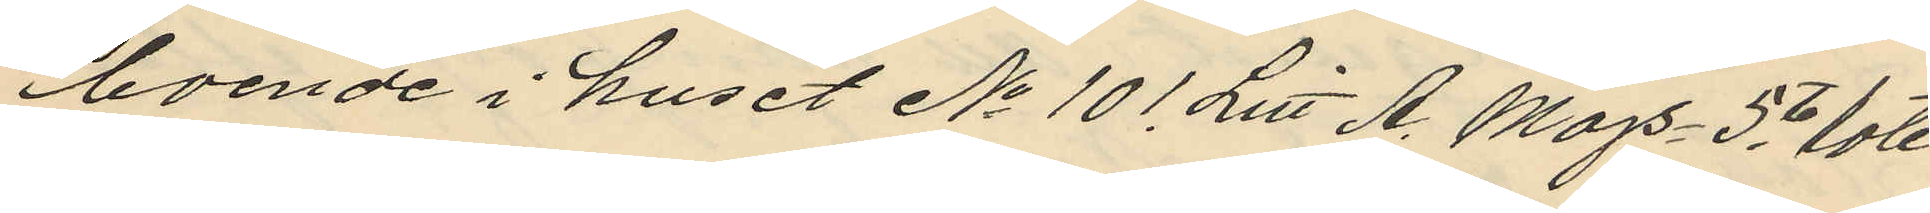boende i huset No 101. Litt A, Majs 5te rote
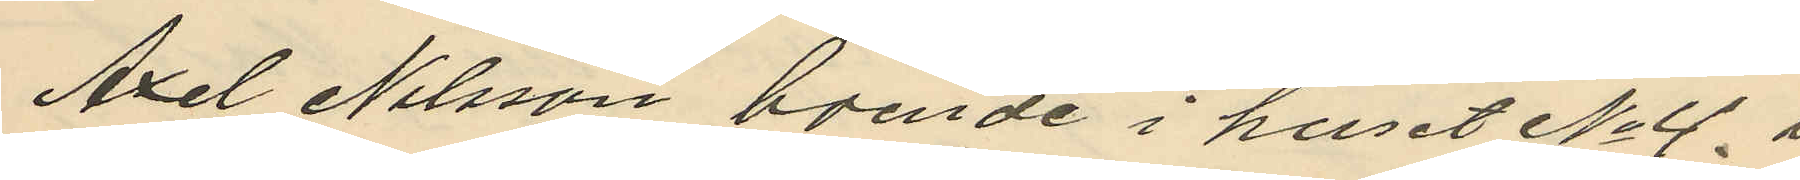Axel Nilsson, boende i huset No 4, i
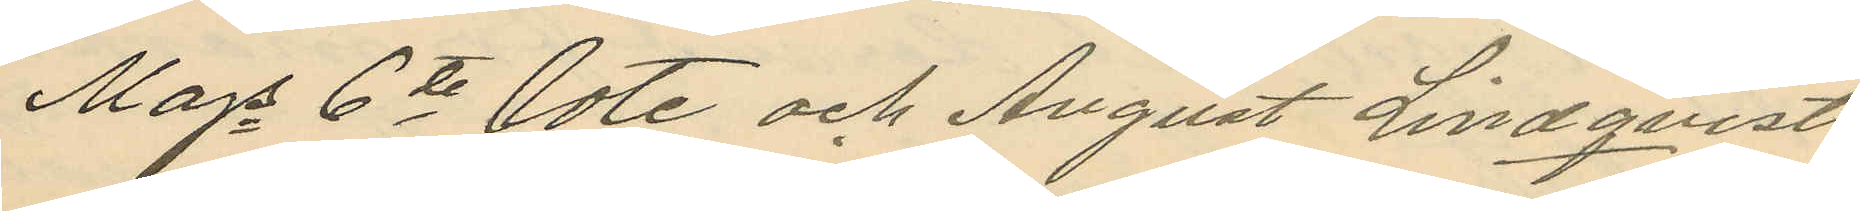Majs 6te rote och August Lindqvist
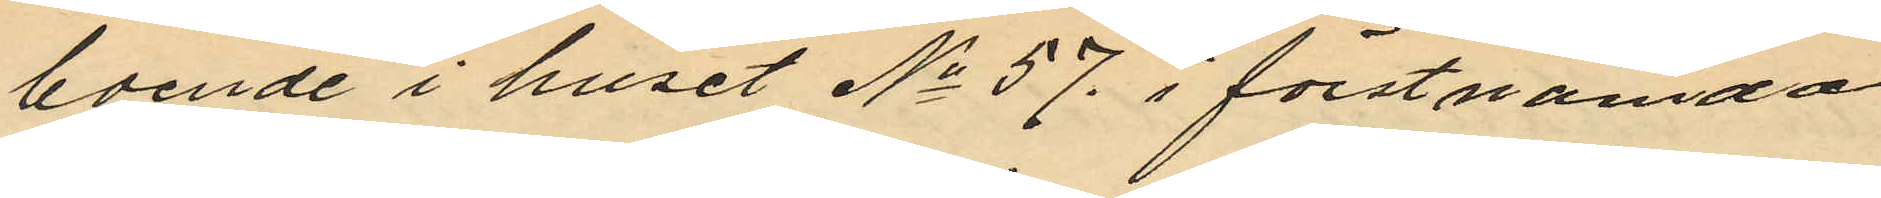boende i huset No 57, i förstnämda
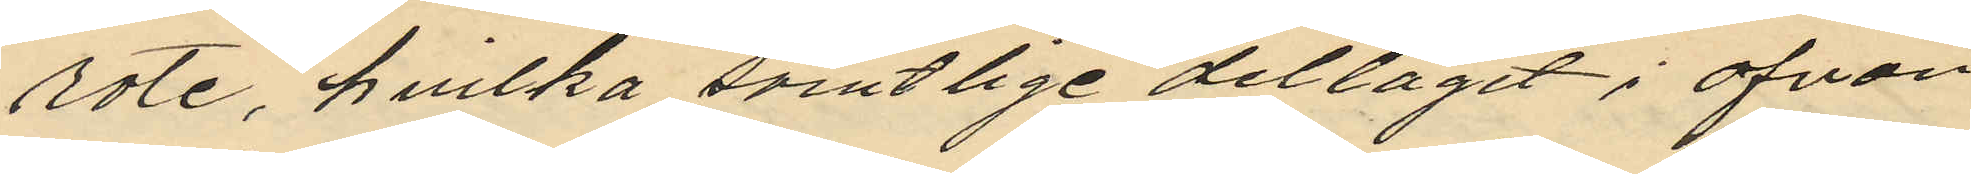rote, hvilka samtlige deltagit i ofvan
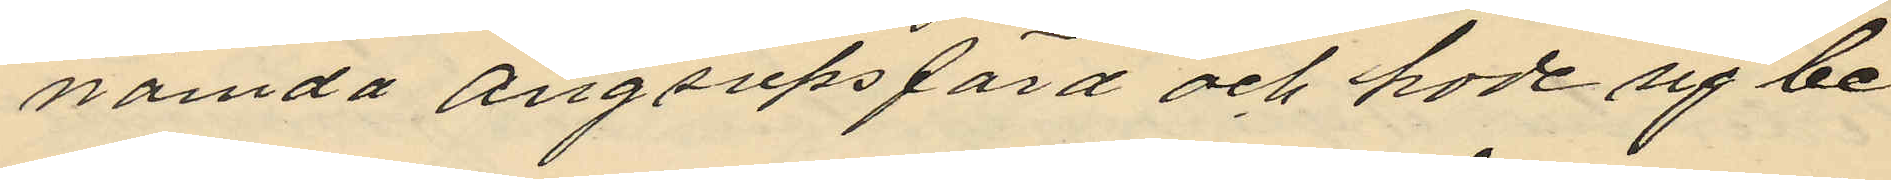nämda ångsupsfärd och hade sig be
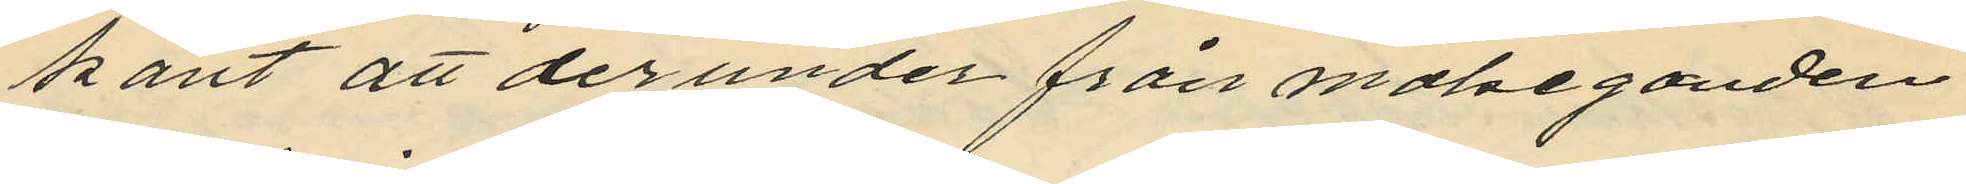kant att derunder från målseganden
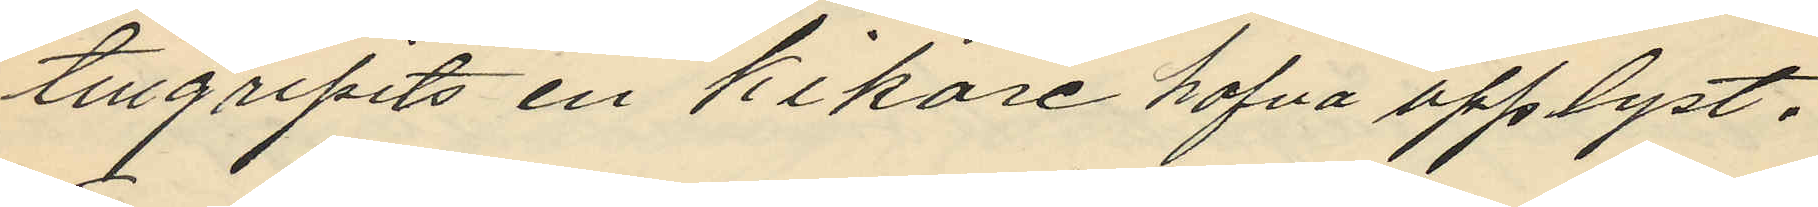tillgripits en kikare hafva upplyst,
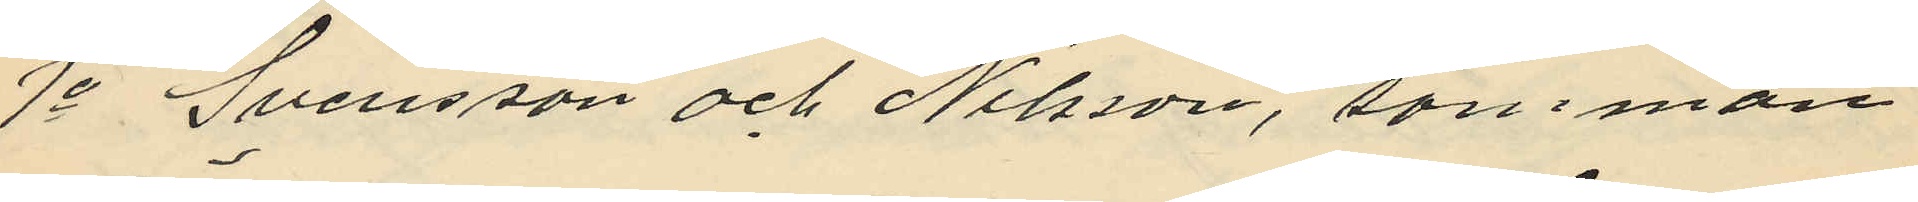1o Svensson och Nilsson, samman
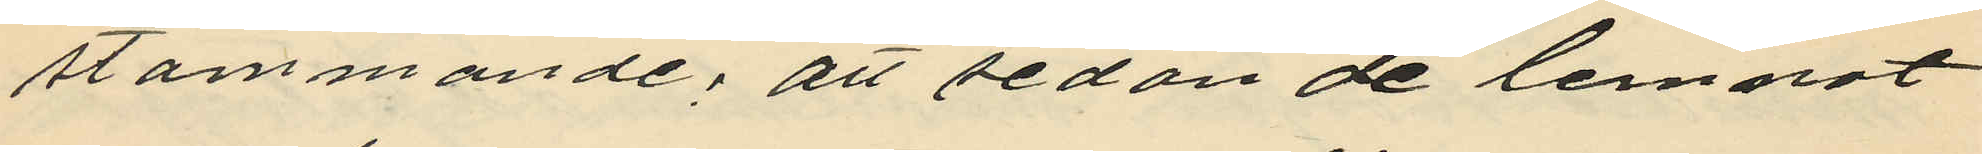stämmande; att sedan de lemnat
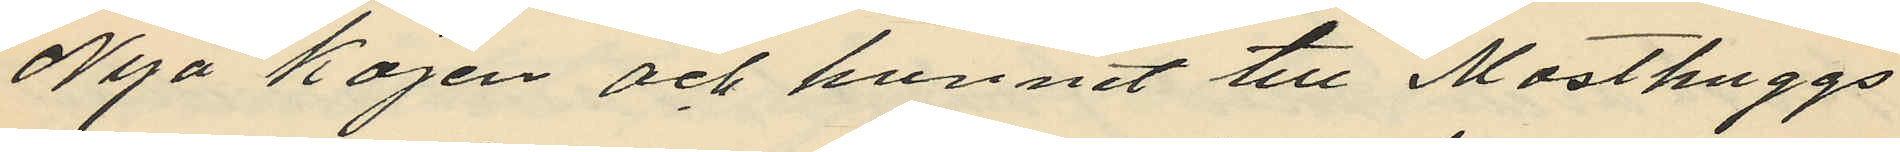Nya kajen och hunnit till Masthuggs
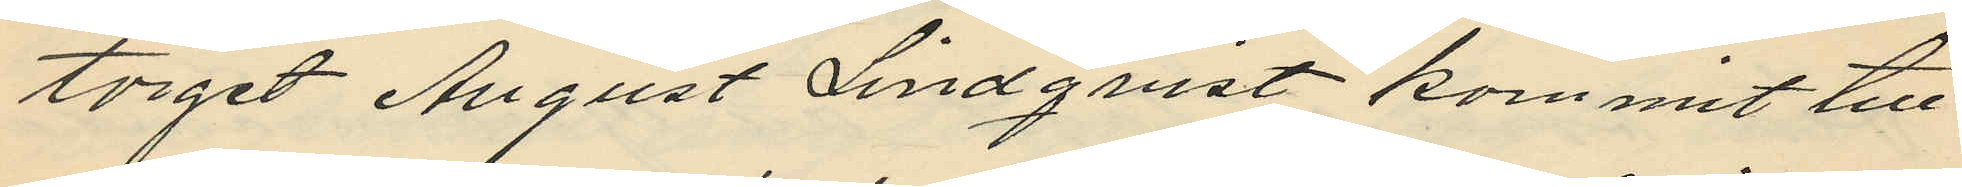torget August Lindqvist kommit till
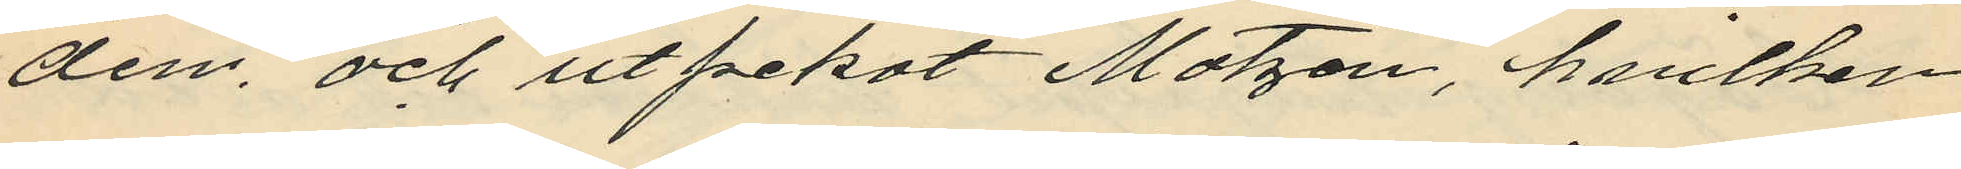dem, och utpekat Matzén, hvilken
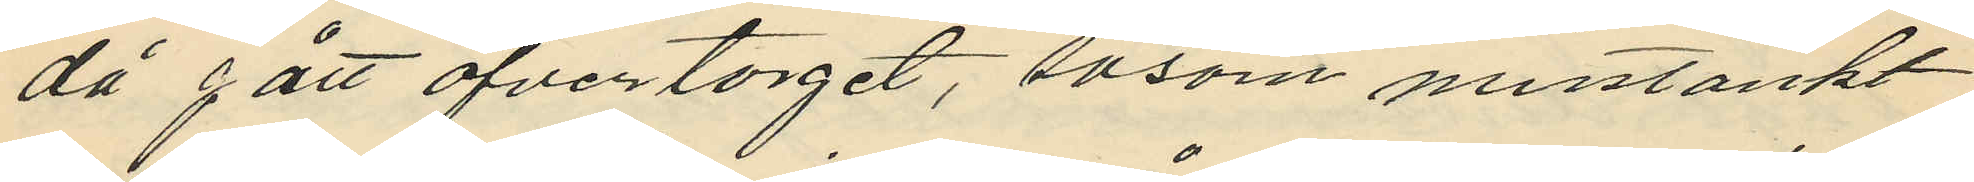då gått öfver torget, såsom misstänkt
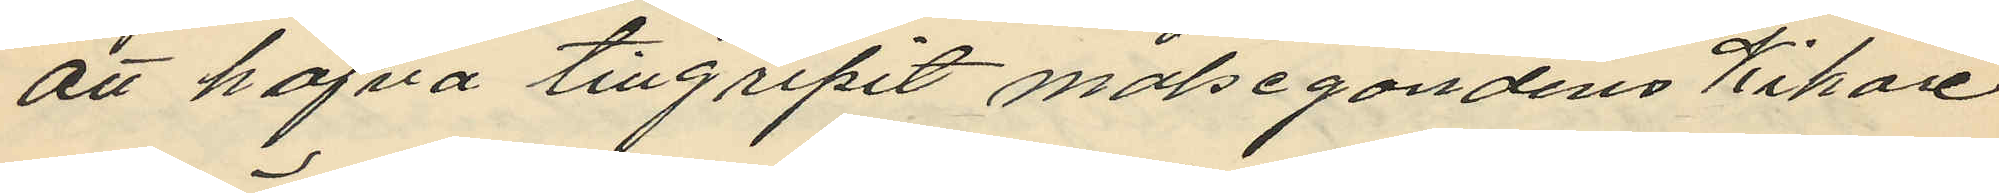att hafva tillgripit målsegandens Kikare
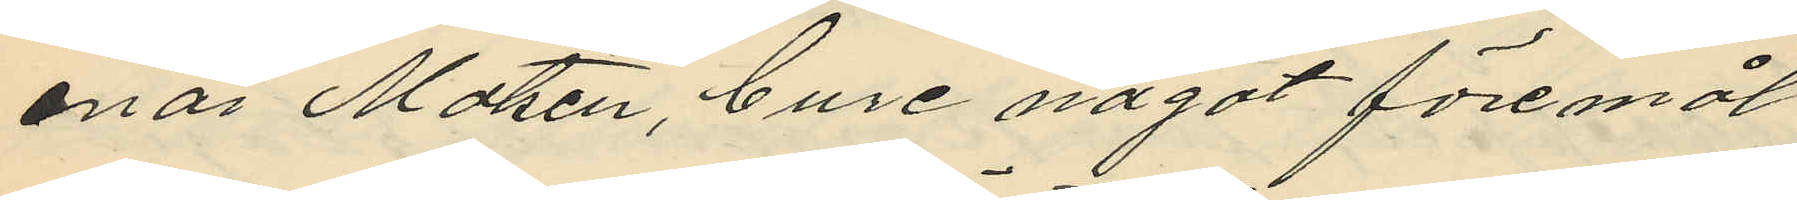enär Matsen, bure något föremål
